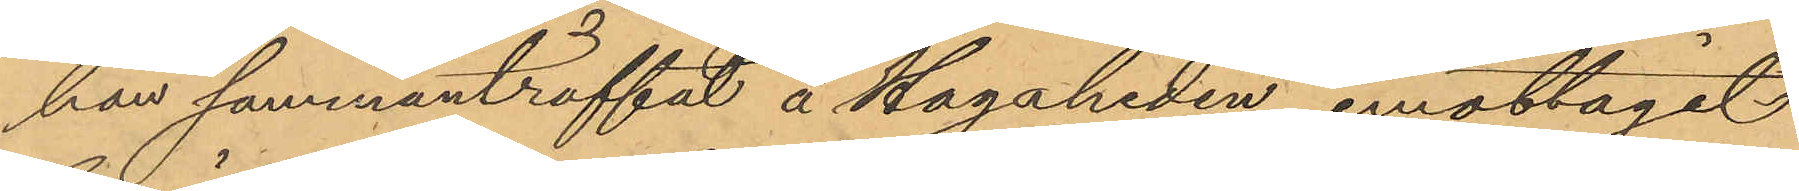han sammanträffat å Hagaheden, emottagit
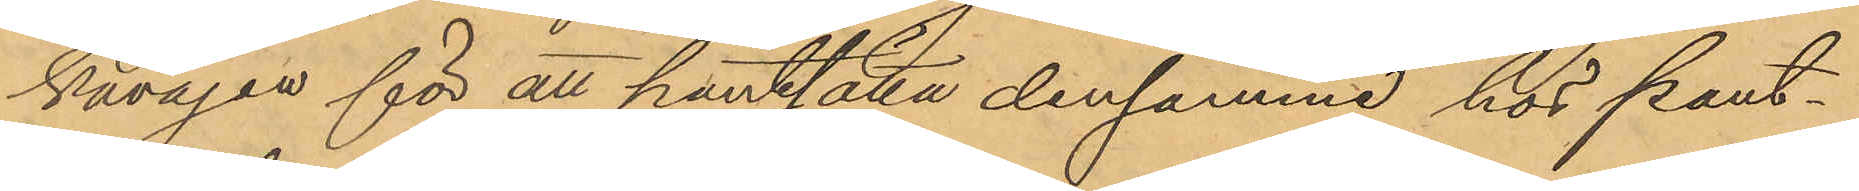kavajen för att pantsätta densamma hos pant¬
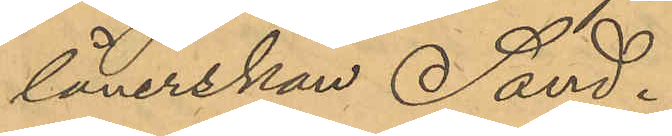lånerskan Sand.
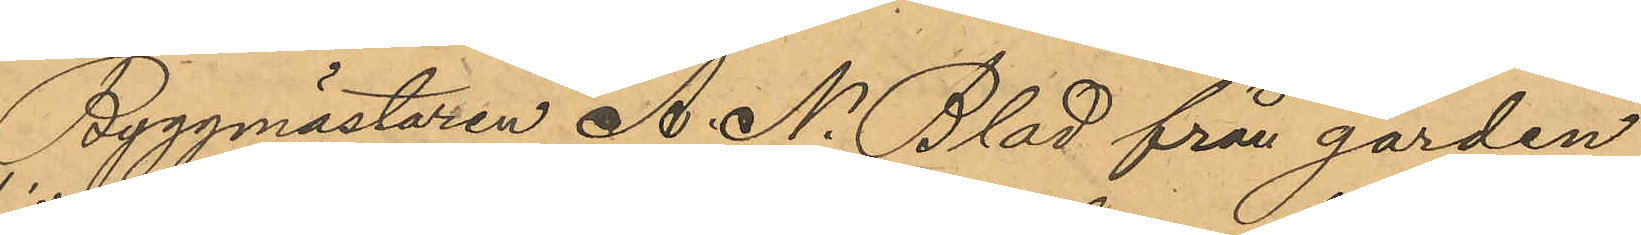Byggmästaren A. N. Blad från gården
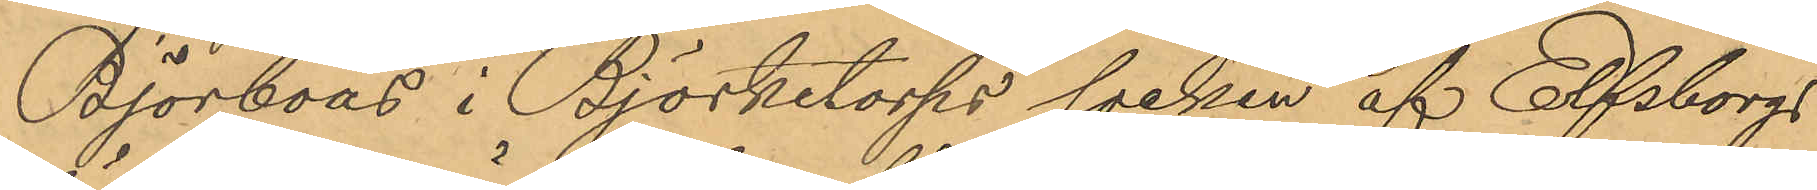Björboås i Björketorps socken af Elfsborgs
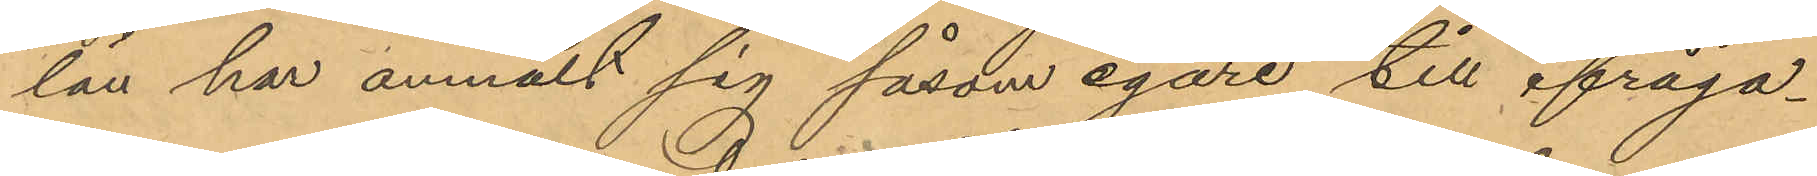län har anmält sig såsom egare till ifråga¬
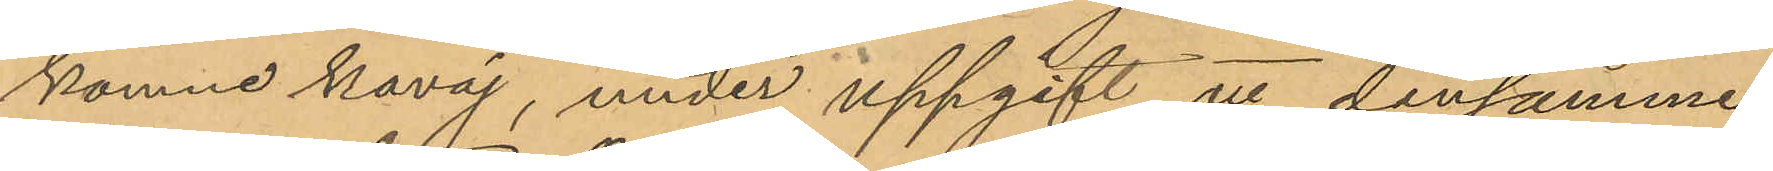komne kavaj, under uppgift att densamma
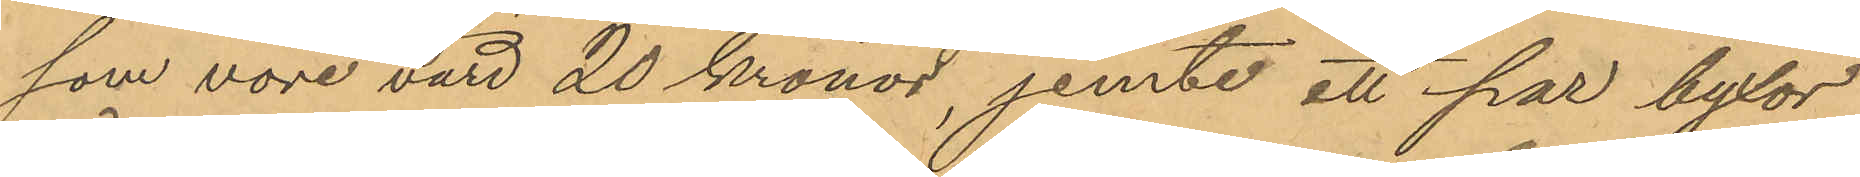som vore värd 20 Kronor, jemte ett par byxor,
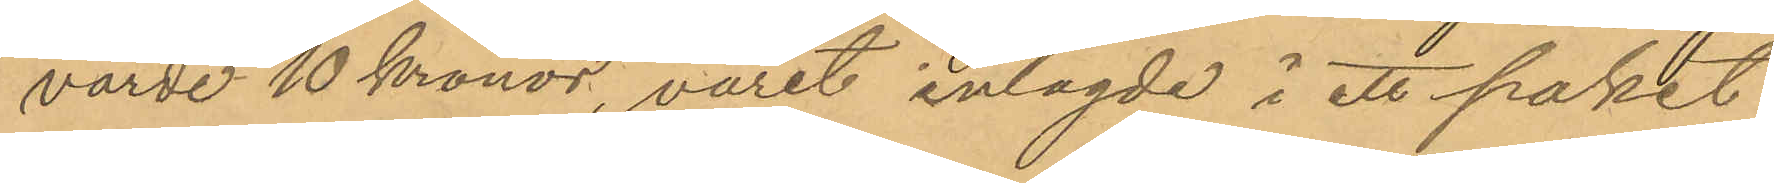värde 10 Kronor, varit inlagde i ett paket,
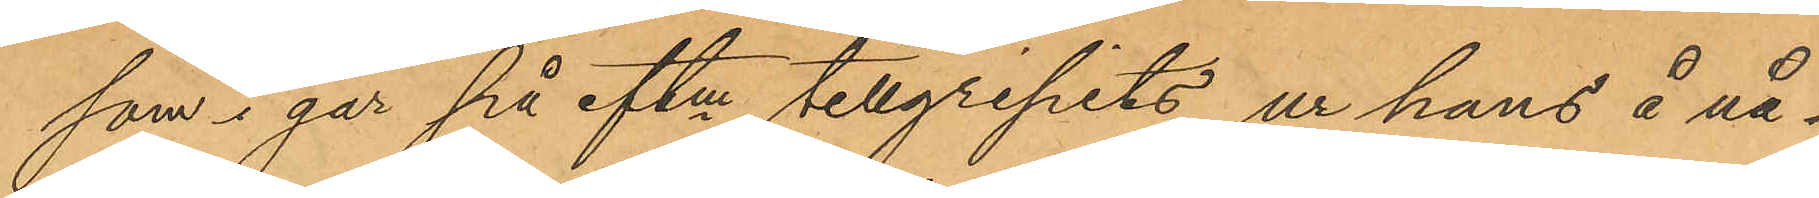som i går på eftm tillgripits ur hans å nå¬
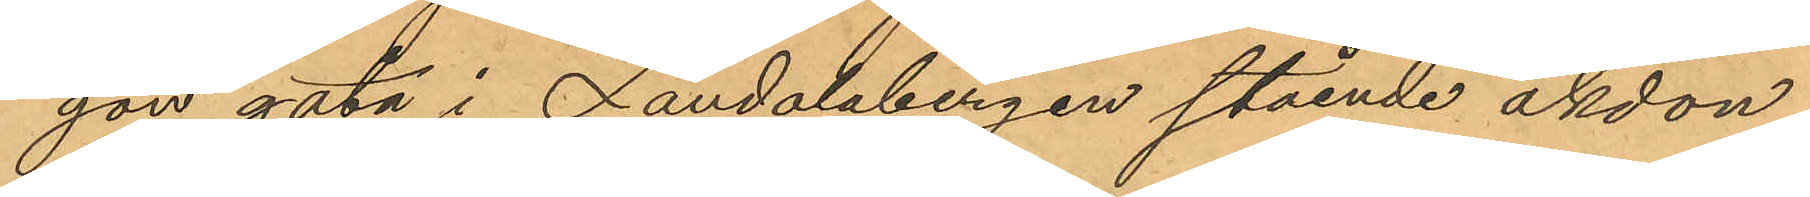gon gata i Landalabergen stående åkdon.
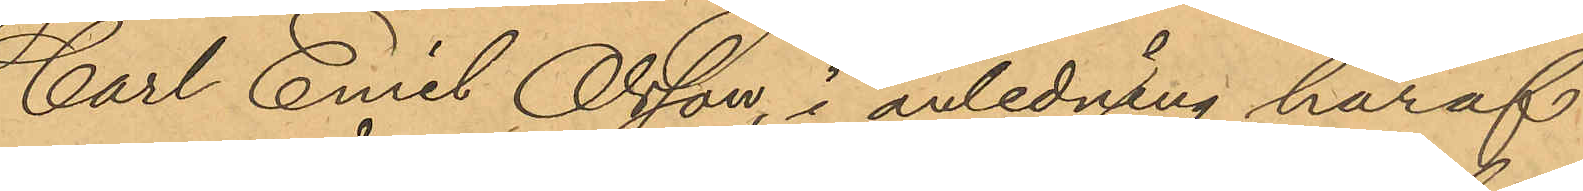Carl Emil Olsson, i anledning häraf
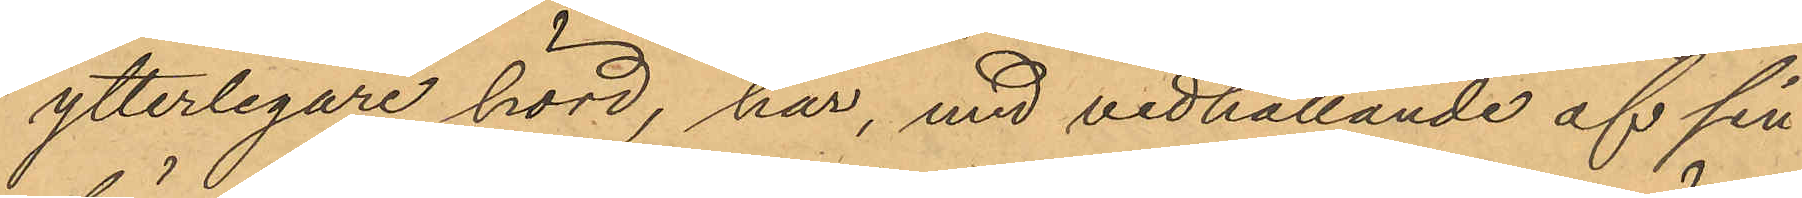ytterligare hörd, har, med vidhållande af sin
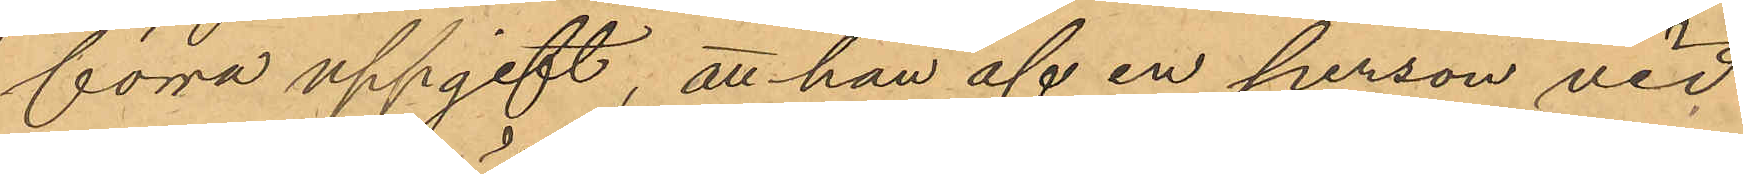förra uppgift, att han af en person vid
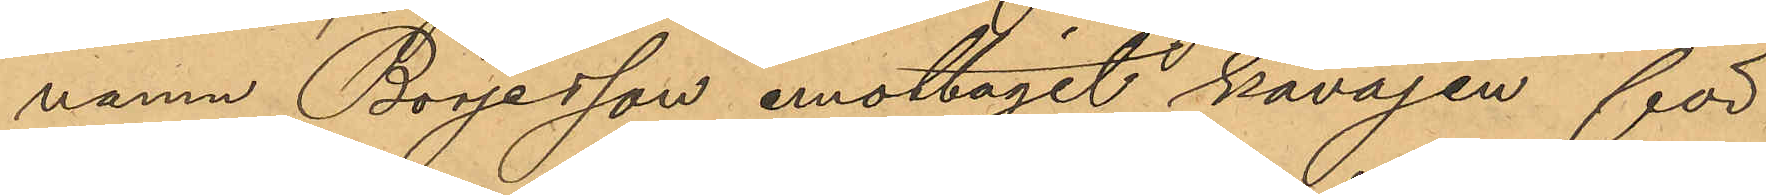namn Börjesson emottagit kavajen för
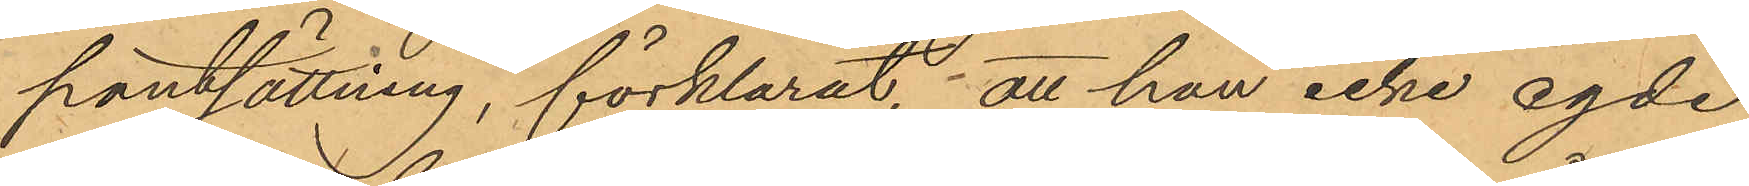pantsättning, förklarat, att han icke egde
